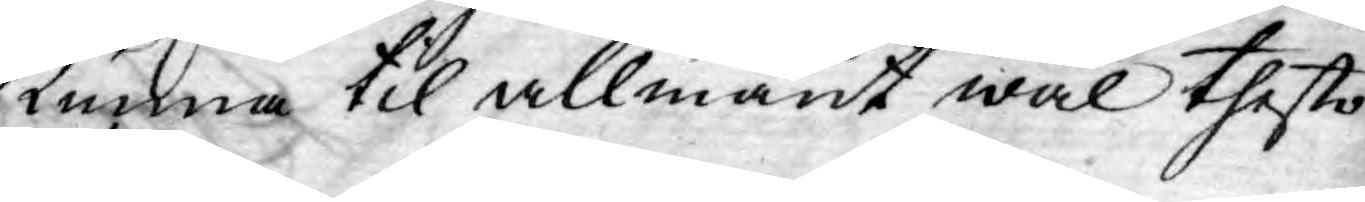Kunna til allmänt wäl thesto
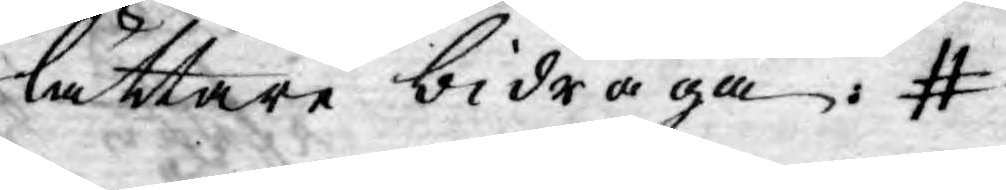lättare bidraga.
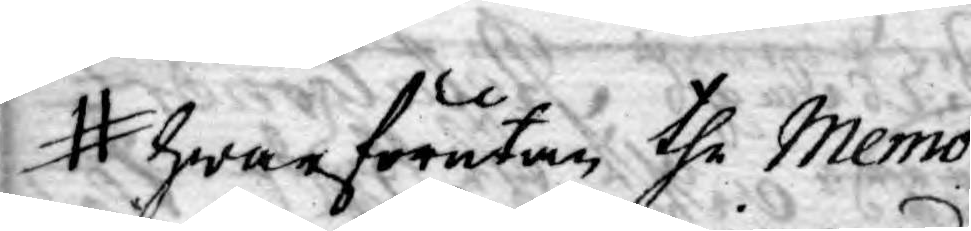hwarförutan the Memo¬
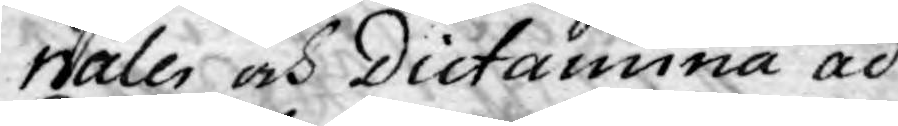rialer och Dictamina ad
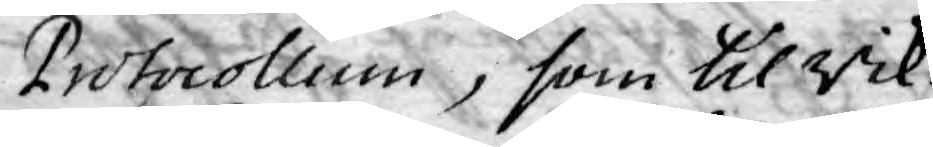Protocollum, som til Rik¬
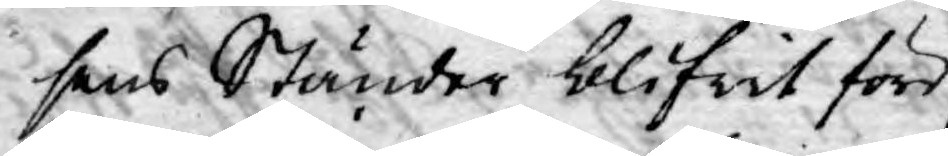sens Ständer blifwit före
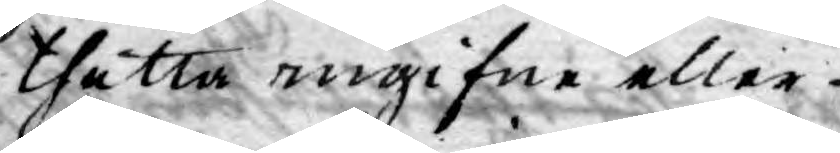thetta ingifne eller
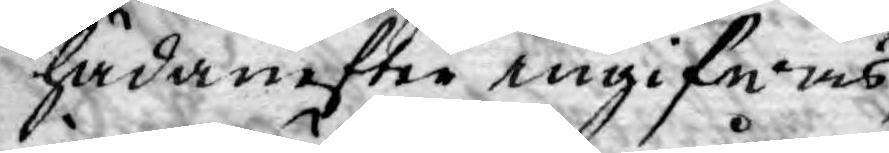hädanefter ingifwas,
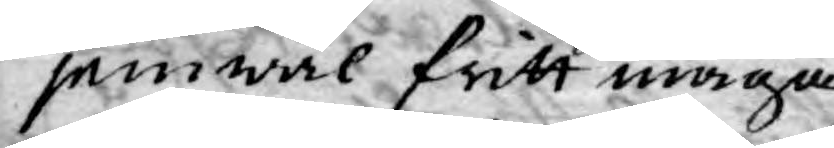jemwäl fritt måga
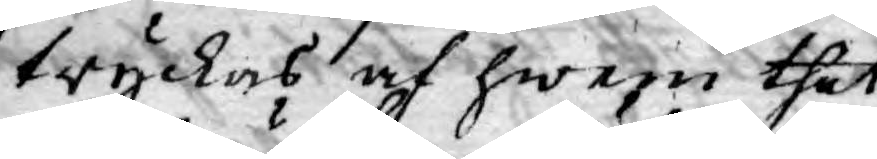tryckas af hwem thet
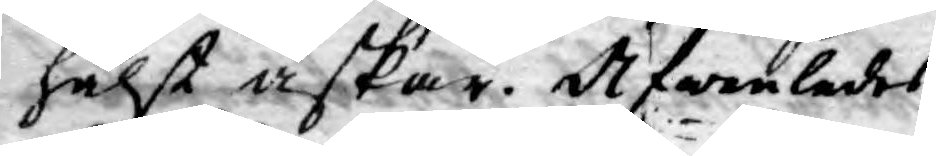hälst äskar. Äfwenledes
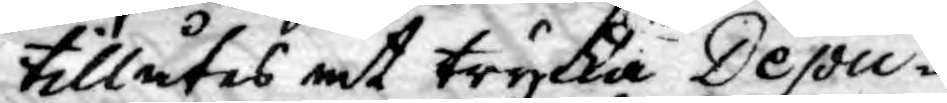tillåtes at trycka Depu¬
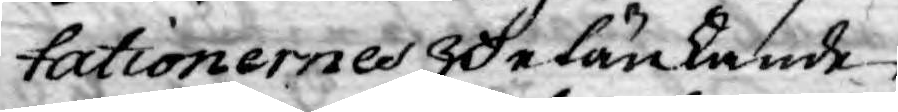tationernes Betänkande
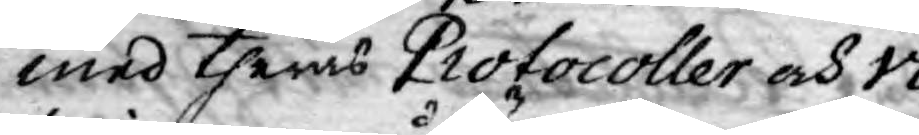med theras Protocoller och vo¬
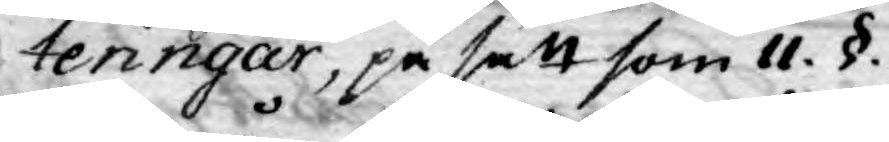teringar, på sätt som 11. §.
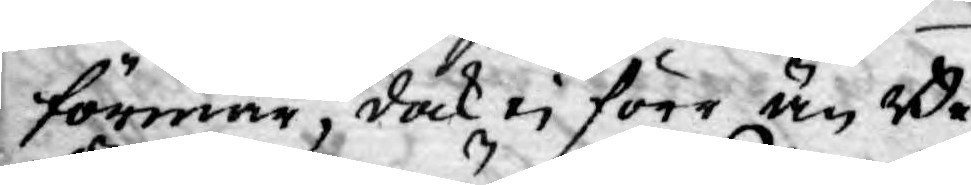förmår, dock ei förr än Be¬
